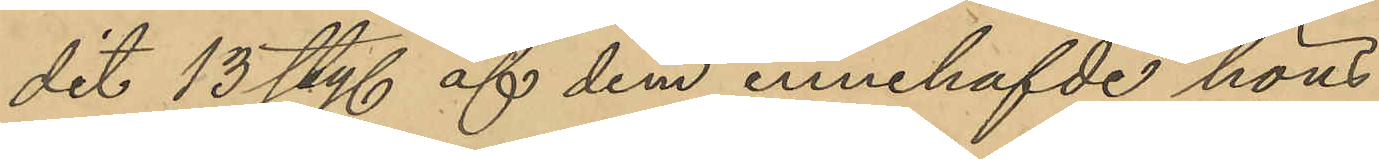dit 13 sty. af dem innehafde höns
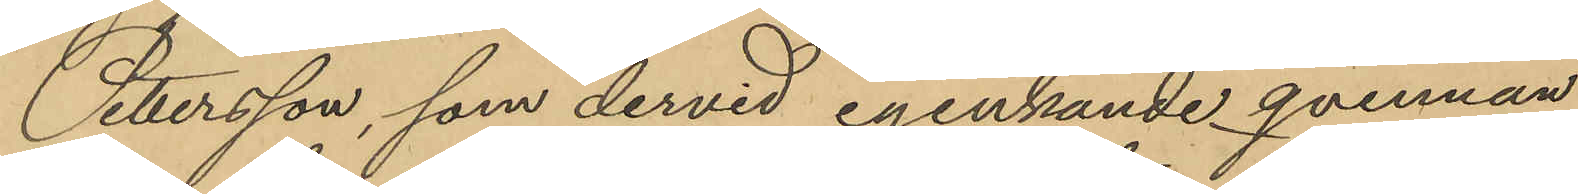Pettersson, som dervid igenkände qvinnan
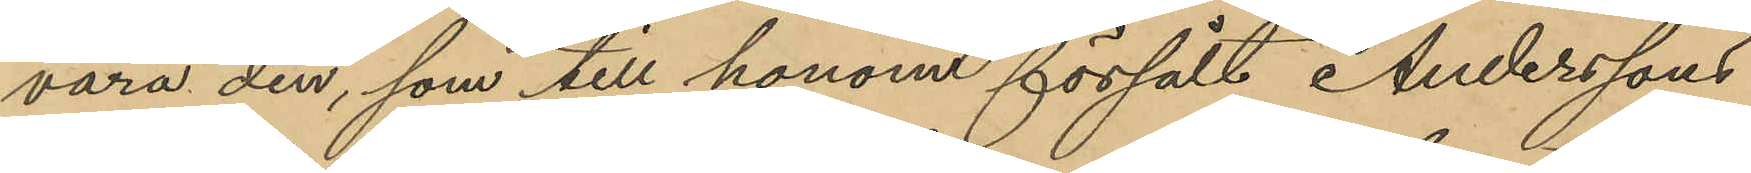vara den, som till honom försålt Anderssons
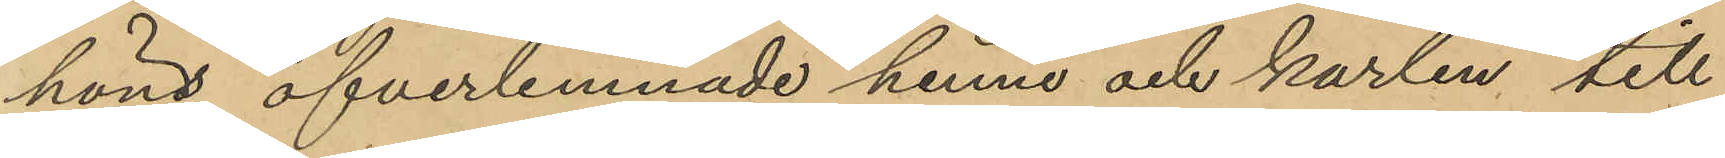höns öfverlemnade henne och karlen, till
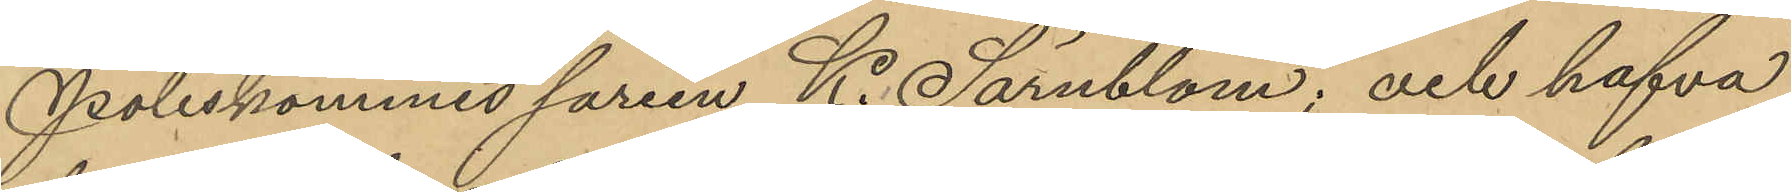Poliskommissarien K. Särnblom; och hafva
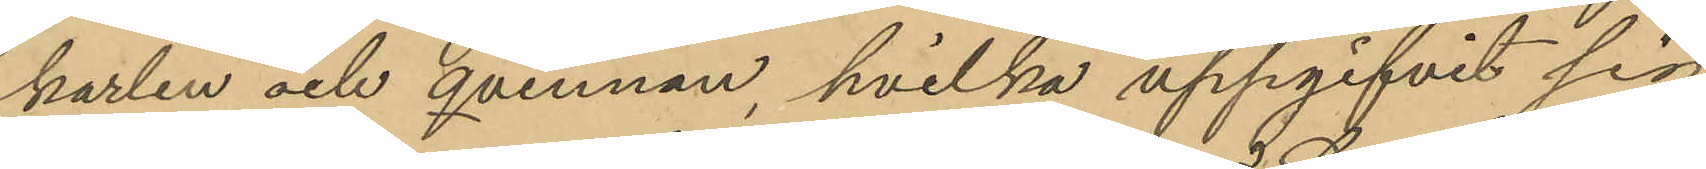karlen och qvinnan, hvilka uppgifvit sig
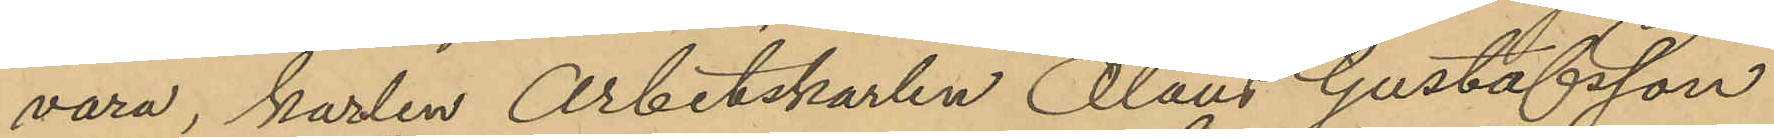vara, karlen Arbetskarlen Olaus Gustafsson
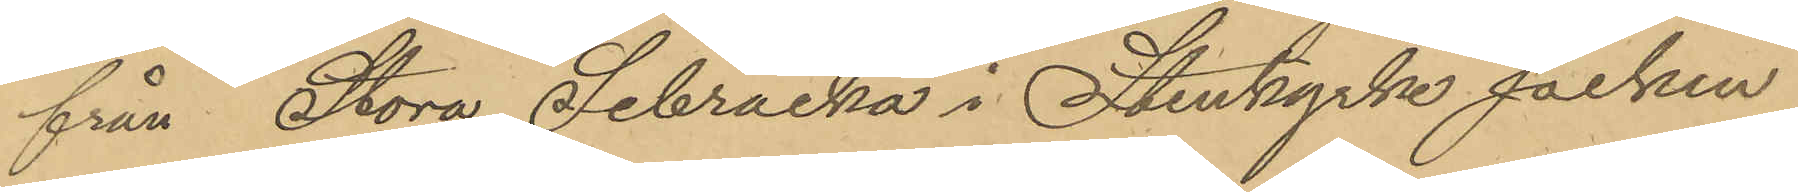från Stora Sibräcka i Stenkyrka socken
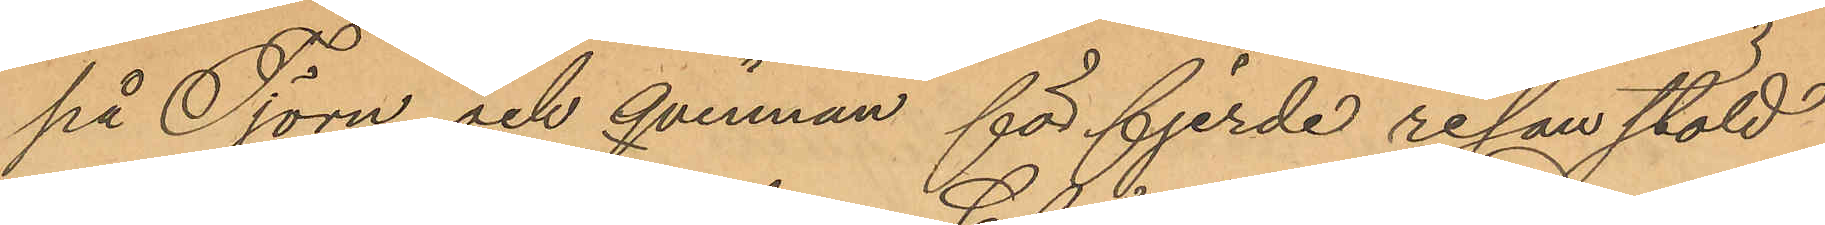på Tjörn och qvinnan för fjerde resan stöld
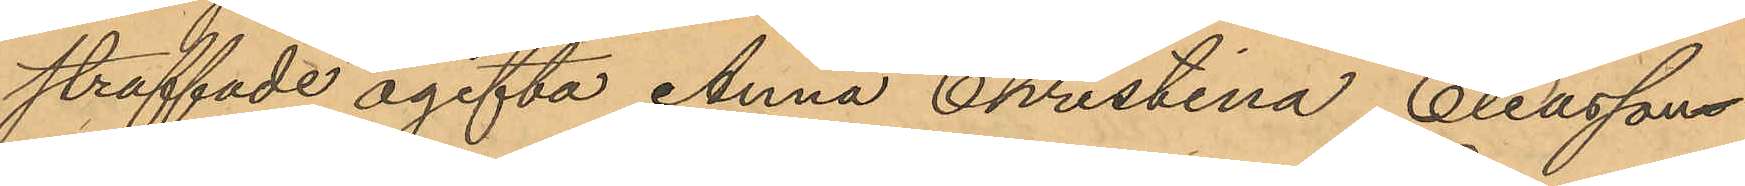straffade ogifta Anna Christina Eliassons
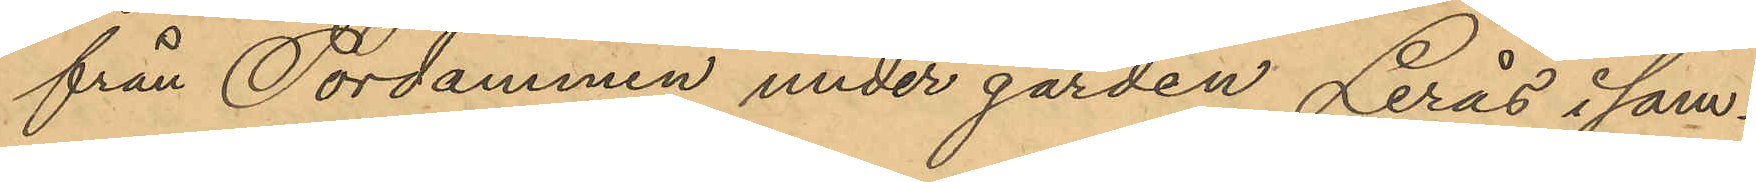från Tordammen under gården Lerås i sam¬
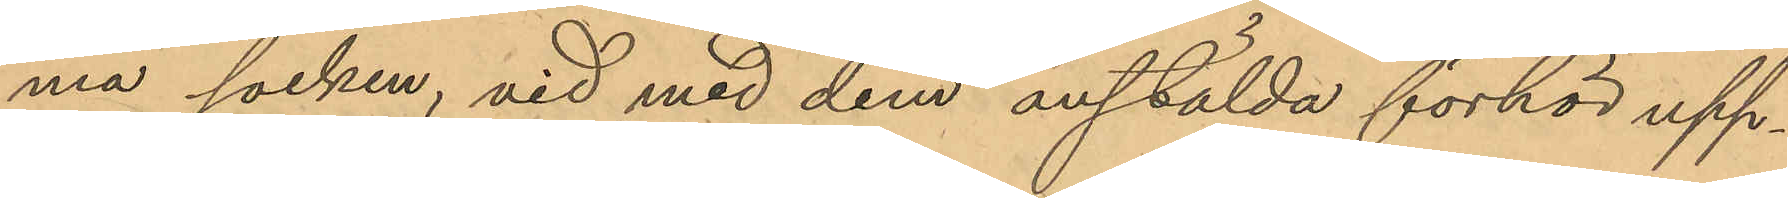ma socken, vid med dem anstälda förhör upp¬
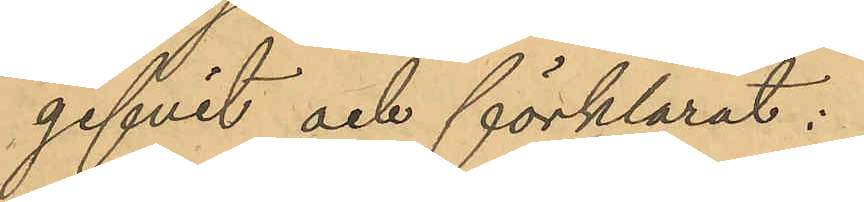gifvit och förklarat:
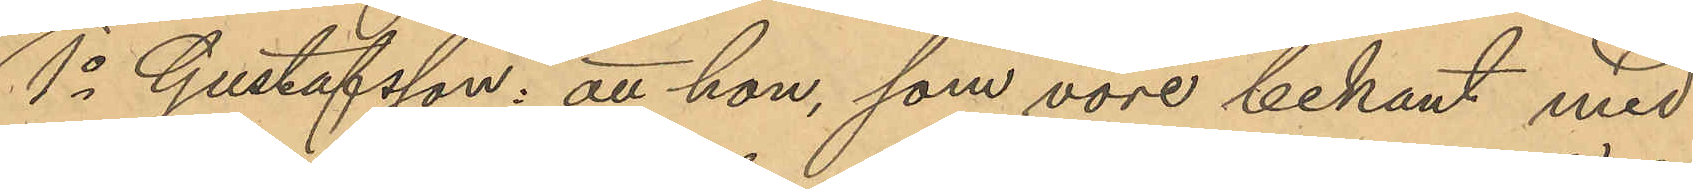1o Gustafsson: att hon, som vore bekant med
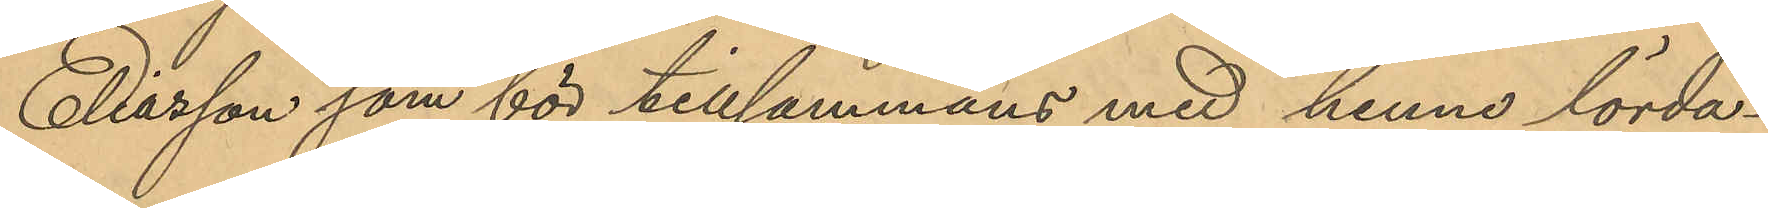Eliasson som bor tillsammans med henne lörda¬
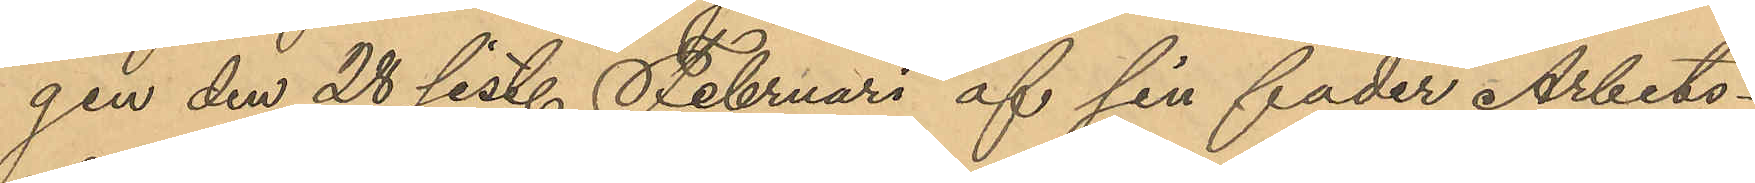gen den 28 sist. Februari af sin fader Arbets¬
